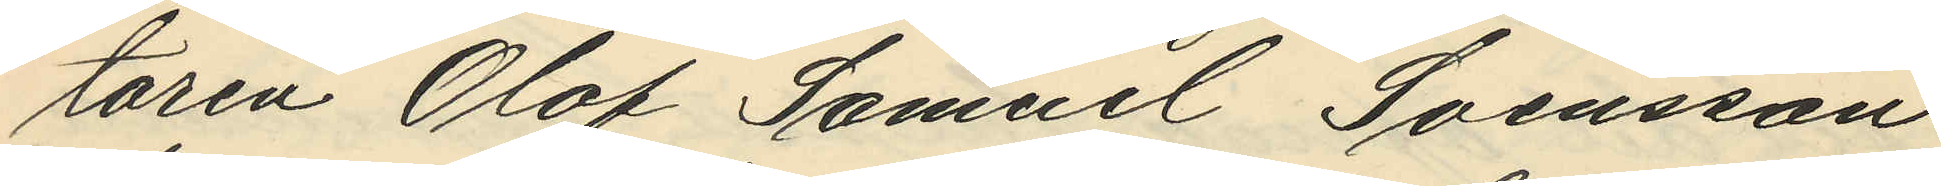taren Olof Samuel Svensson
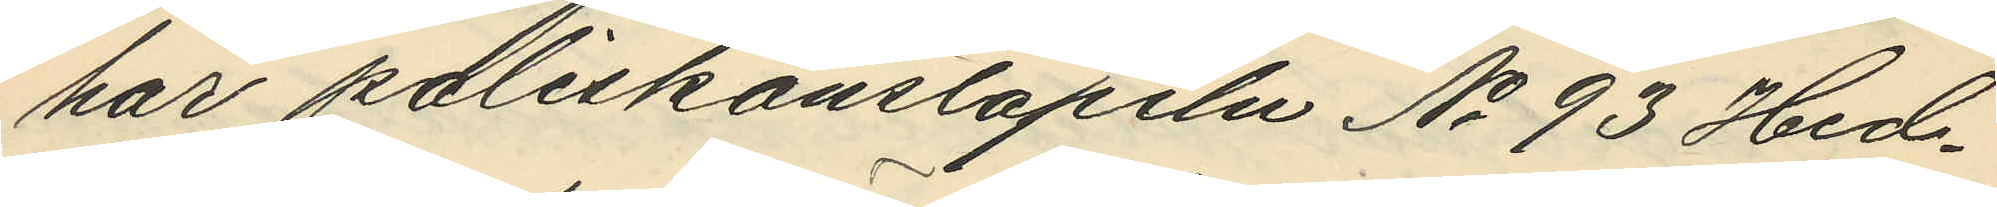har poliskonstapeln No 93 Hed¬
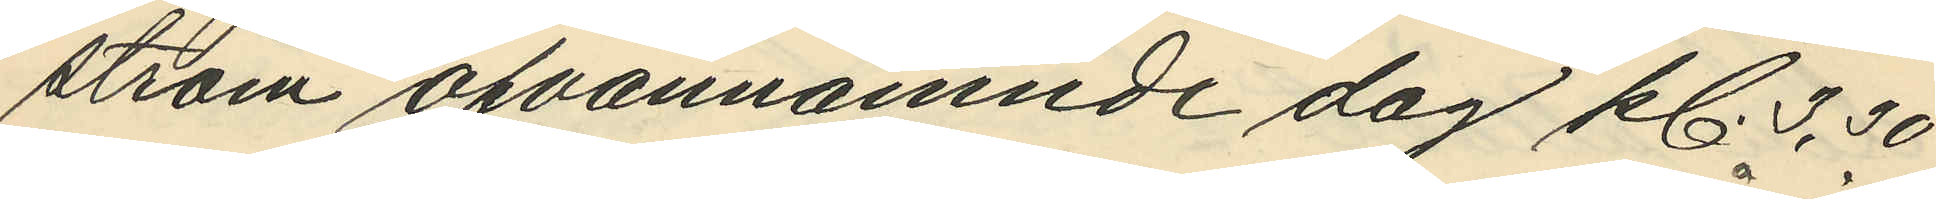ström ofvannämnde dag kl. 3,30
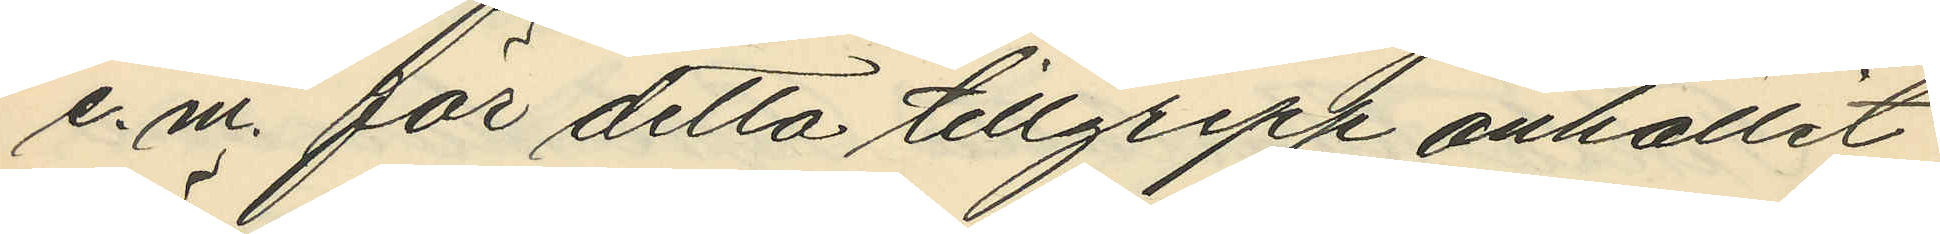e.m. för detta tillgrepp anhållit
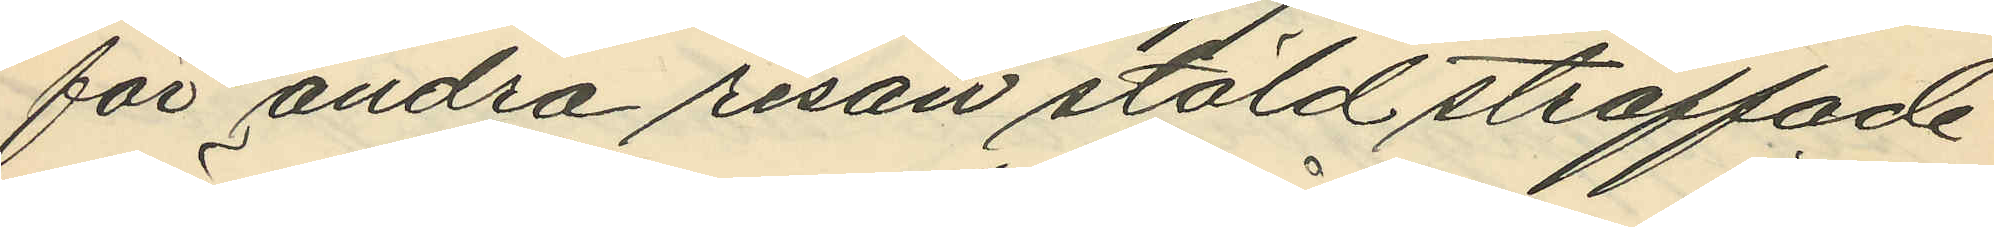för andra resan stöld straffade
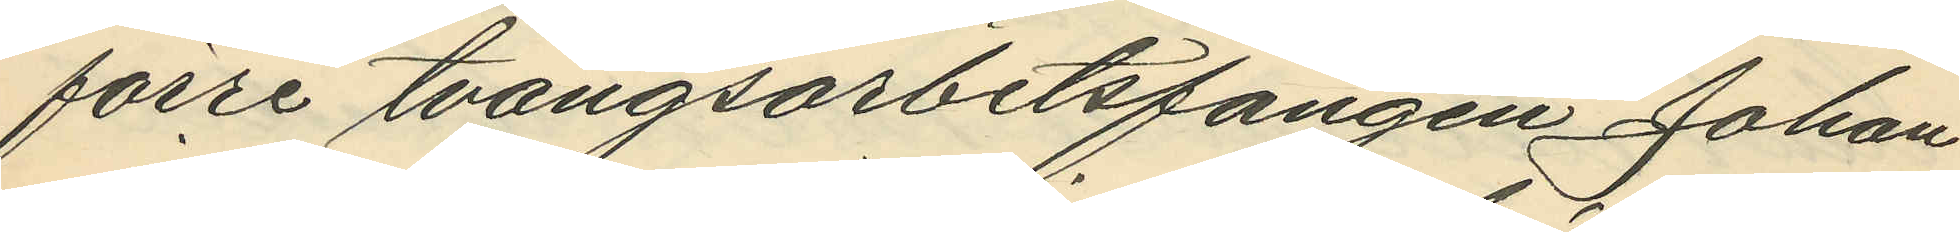förre tvångsarbetsfången Johan
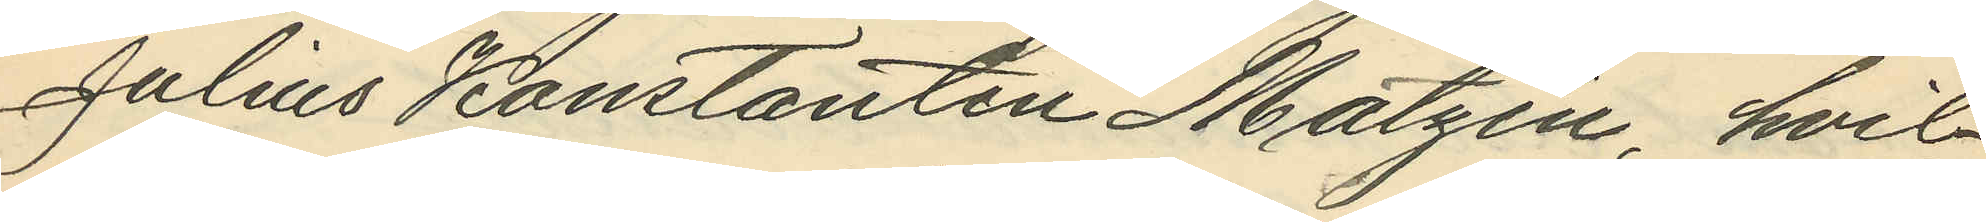Julius Konstantin Matzén, hvil¬
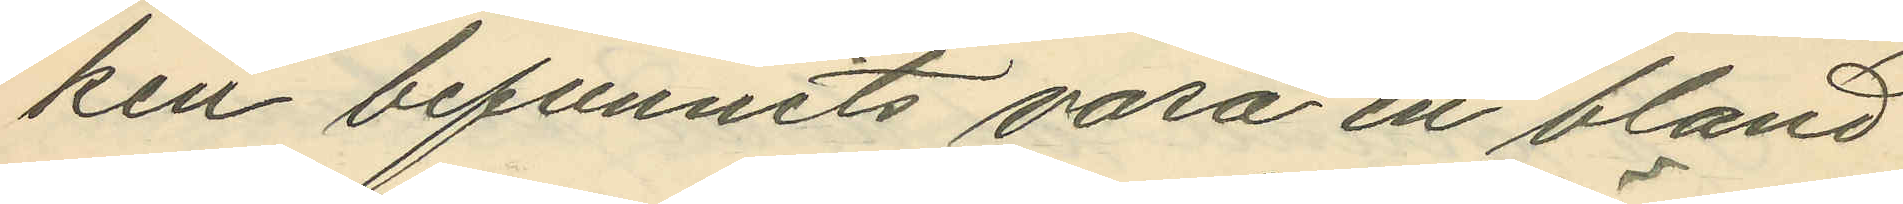ken befunnits vara en bland
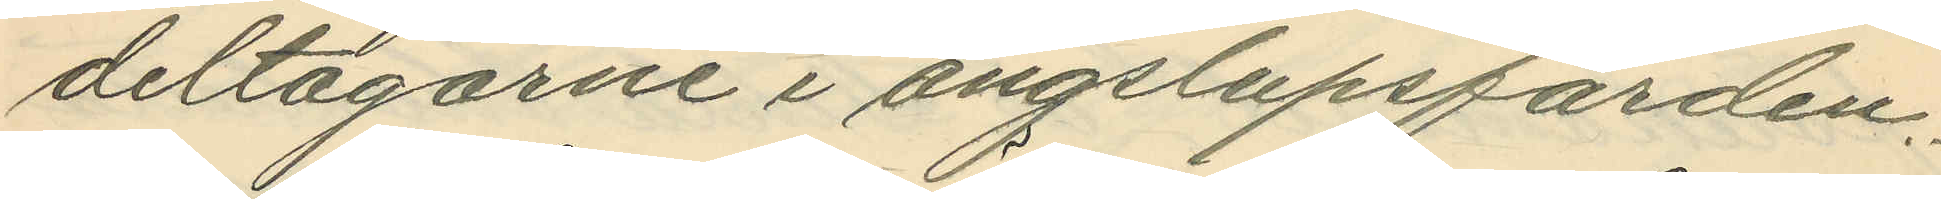deltagarne i ångslupsfärden.
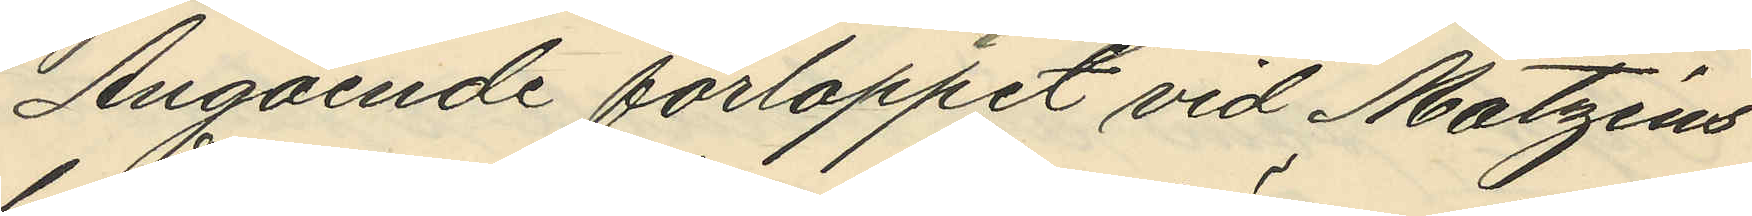Angående förloppet vid Matzéns
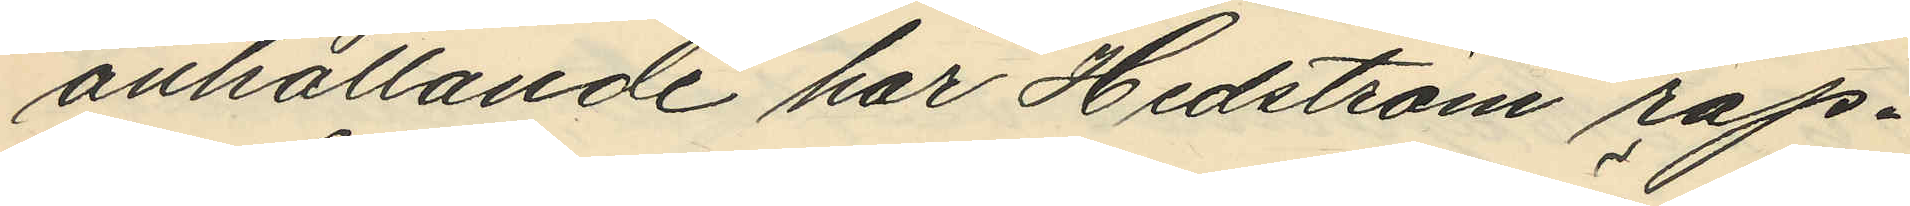anhållande har Hedström rap¬
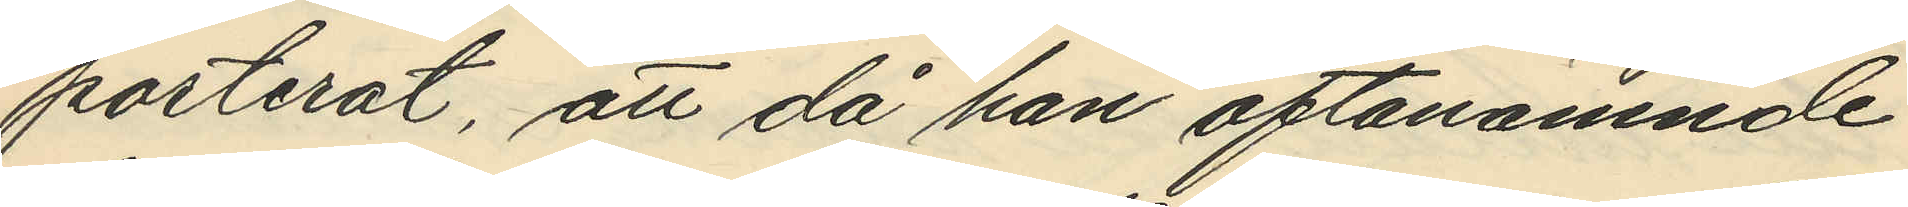porterat, att då han oftanämnde
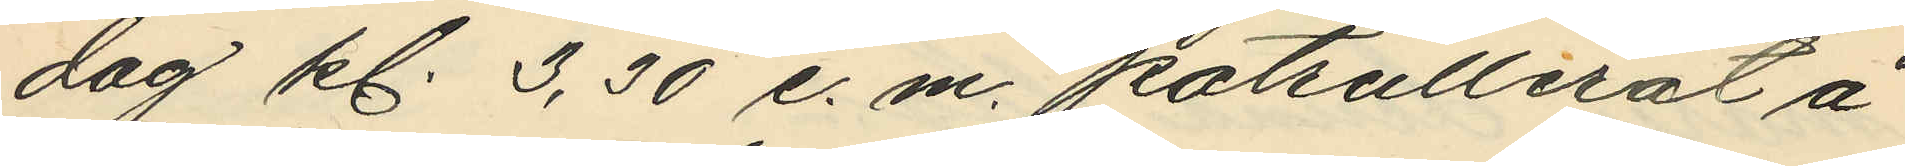dag kl. 3,30 e. m. patrullerat å
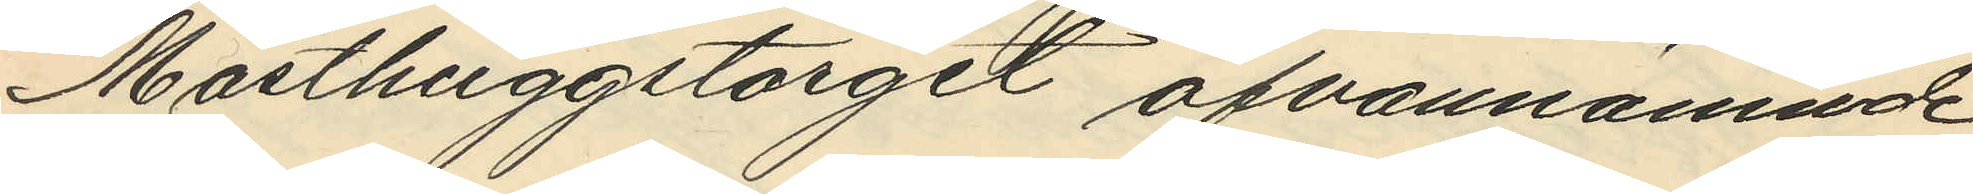Masthuggstorget ofvannämnde
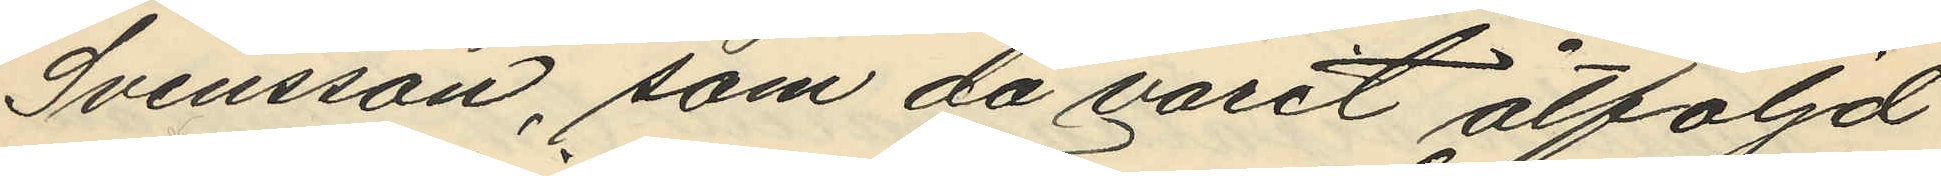Svensson, som då varit åtföljd
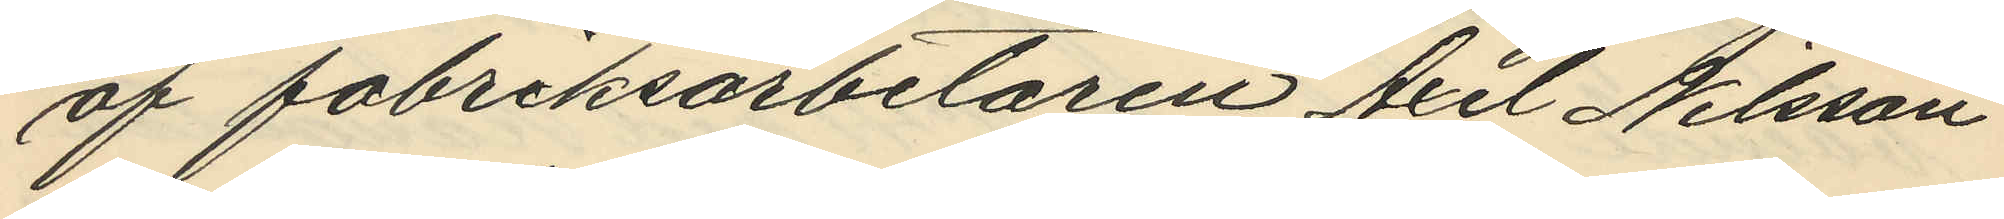af fabriksarbetaren Axel Nilsson
